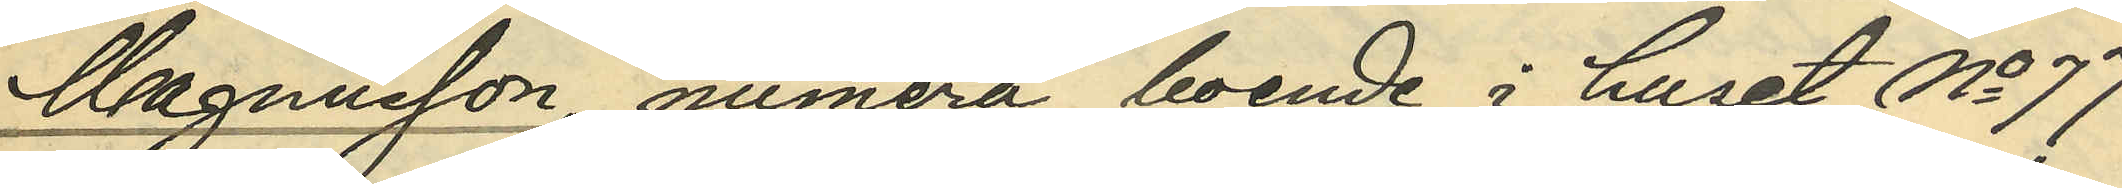Magnusson, numera boende i huset No 77
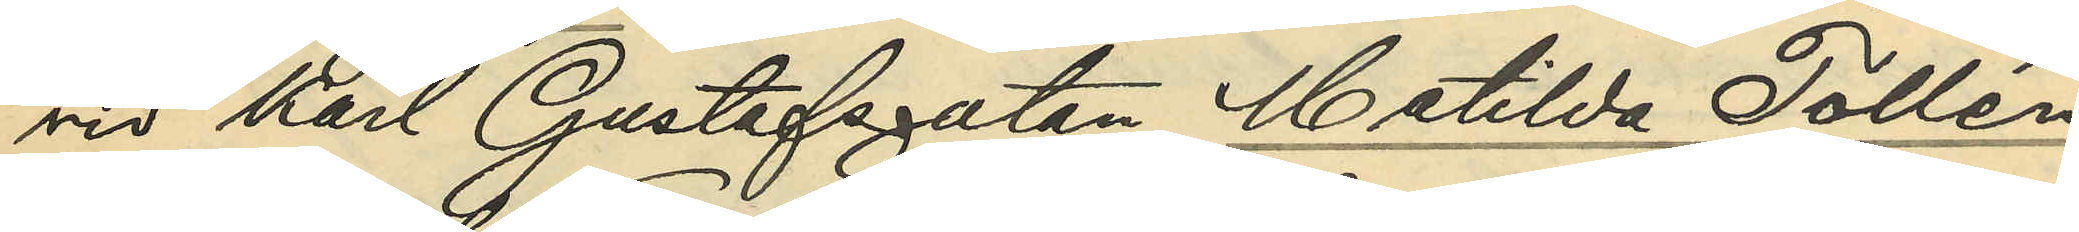vid Karl Gustafsgatan, Matilda Tollén
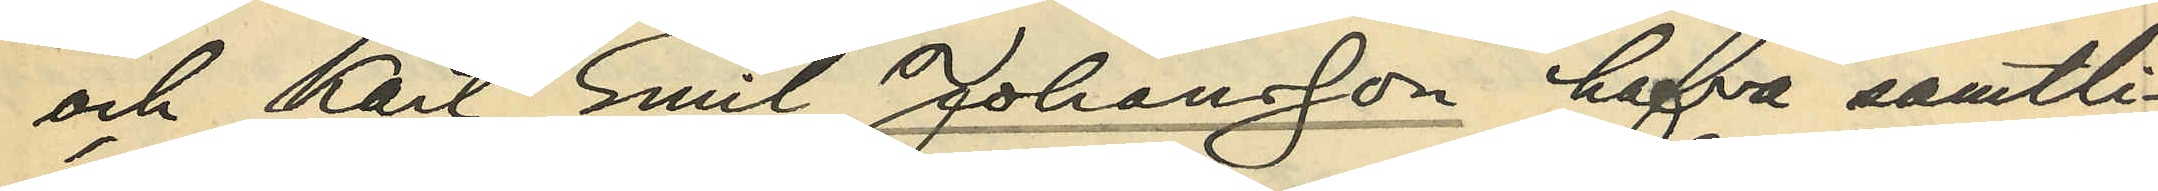och Karl Emil Johansson hafva samtli¬
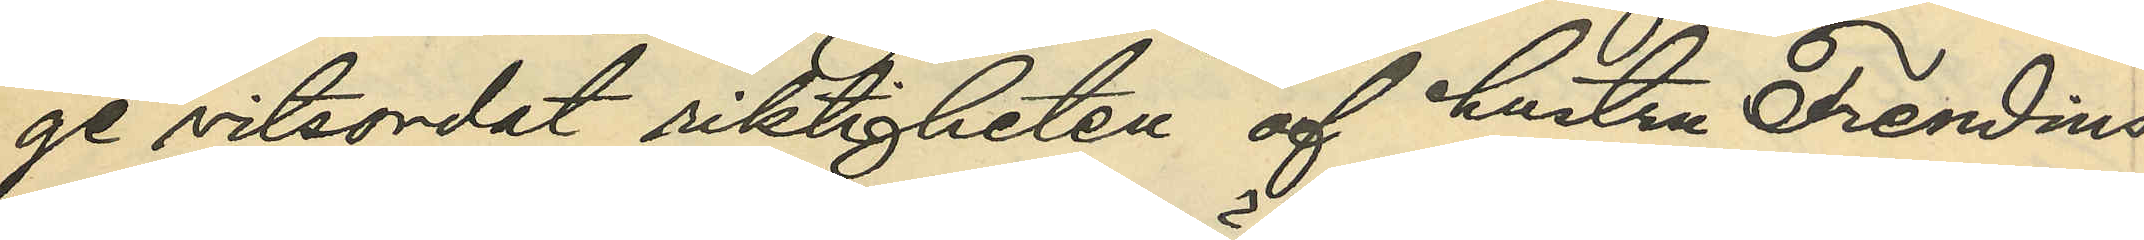ge vitsordat riktigheten af hustru Frendins
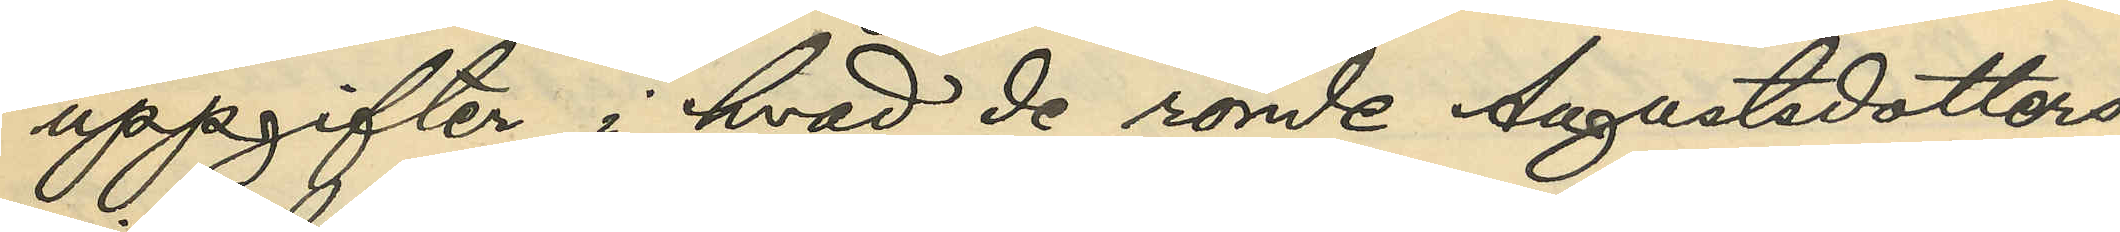uppgifter i hvad de rörde Augustsdotters
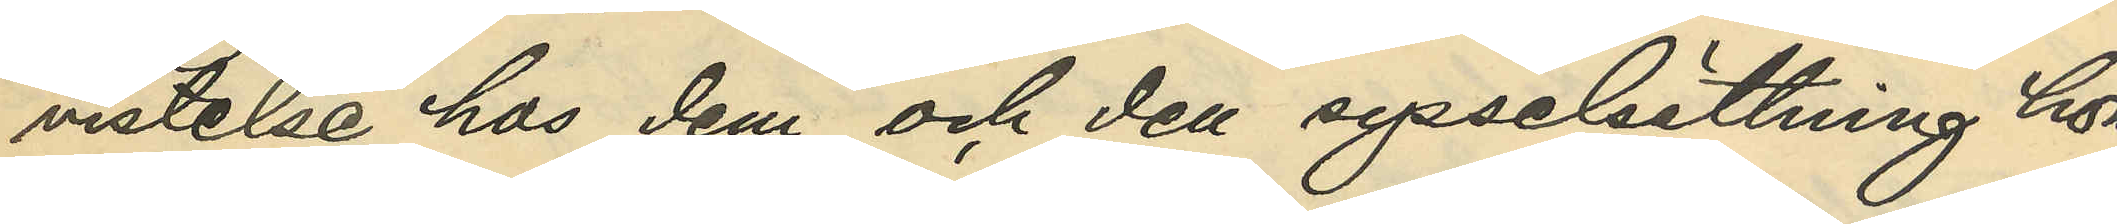vistelse hos dem och den sysselsättning hon
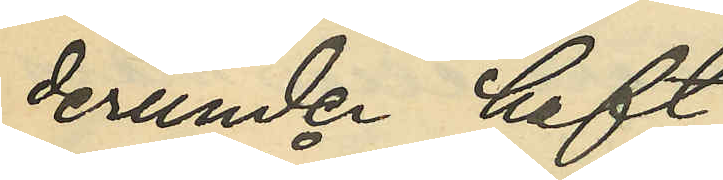derunder haft.
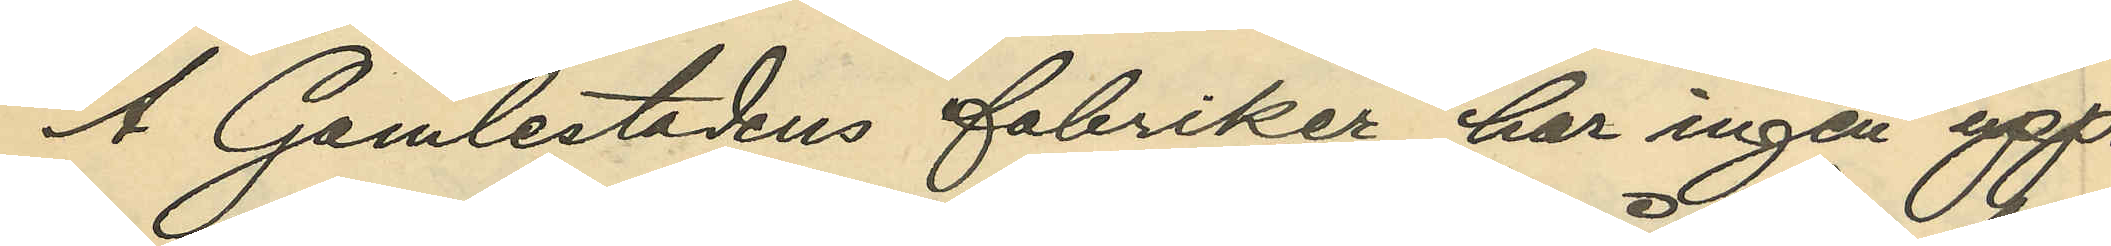Å Gamlestadens fabriker har ingen upp¬
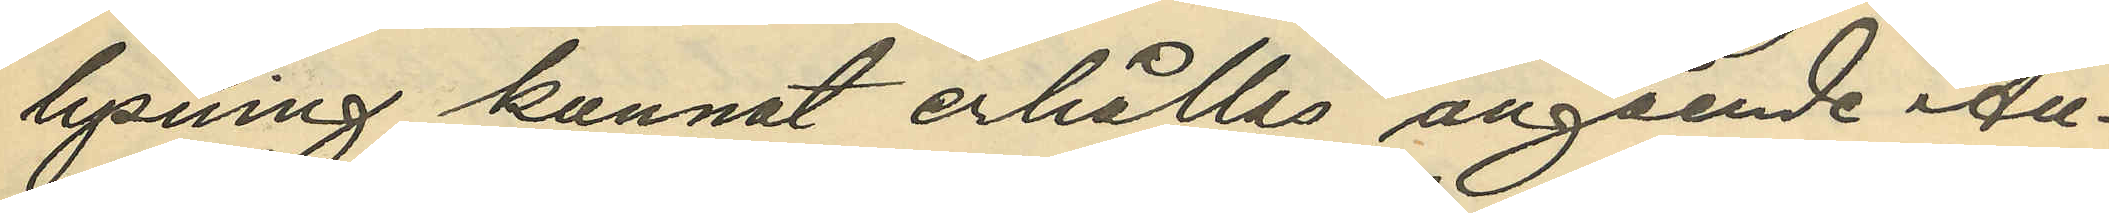lysning kunnat erhållas angående Au¬
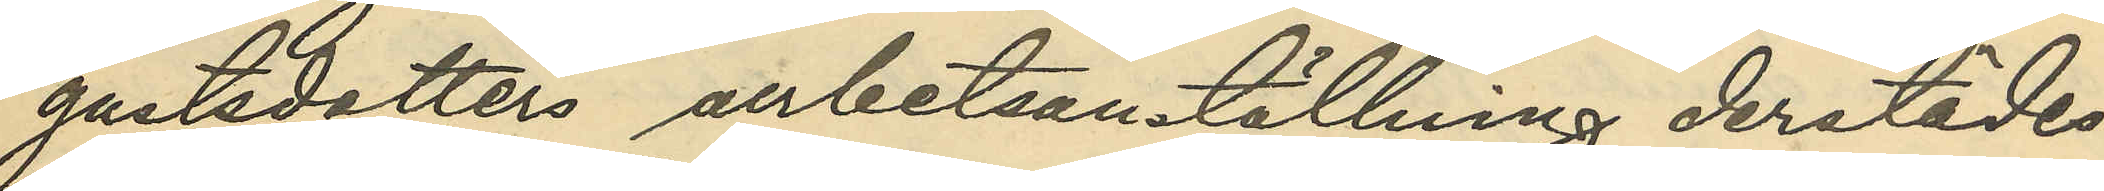gustsdotter arbetsanställning derstädes.
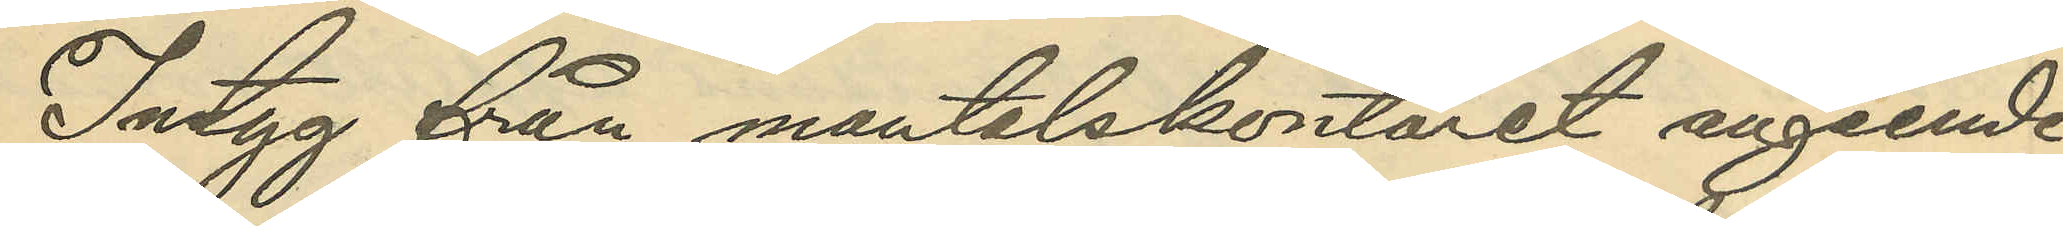Intyg från mantalskontoret angående
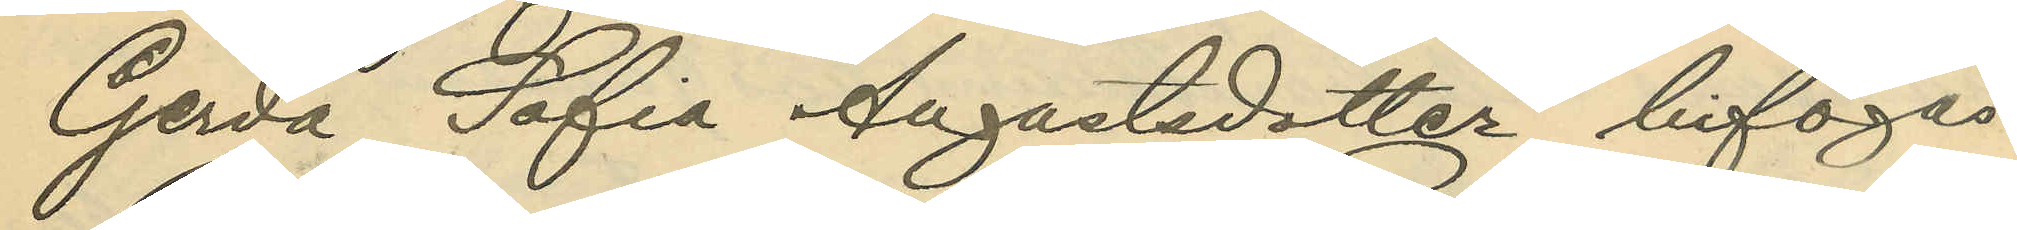Gerda Sofia Augustsdotter bifogas.
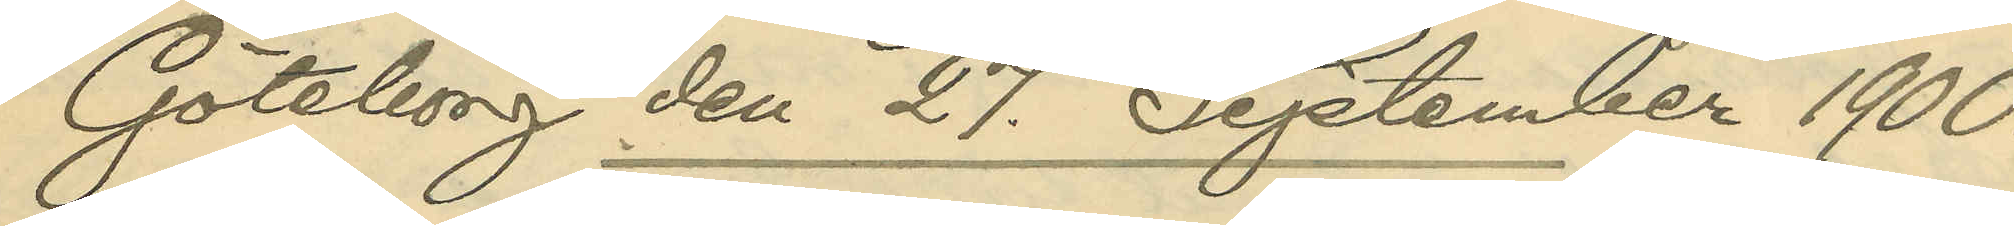Göteborg den 27 September 1900.
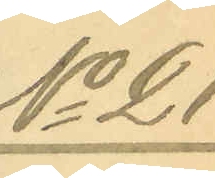No 21.
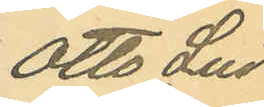Otto Lud¬
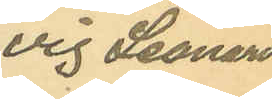vig Leonard
